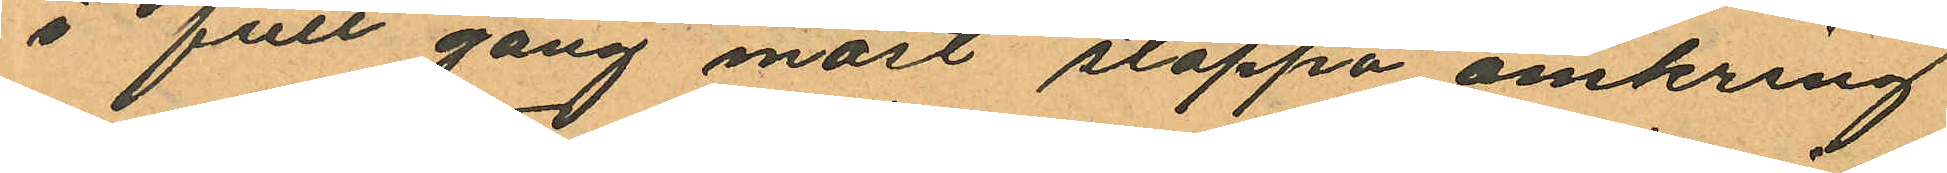i full gång måst stoppa omkring
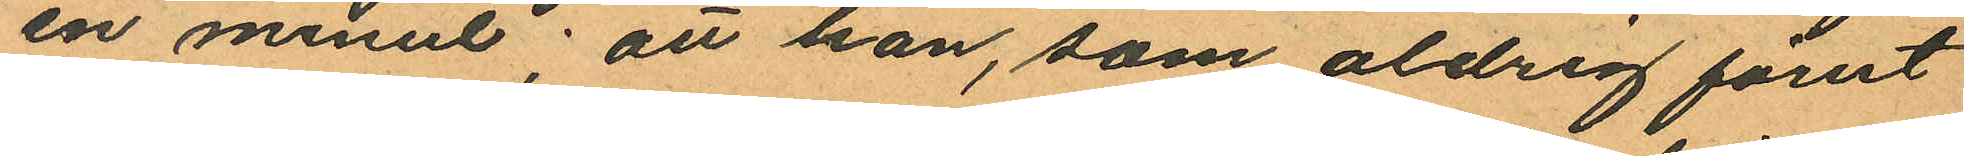en minut; att han, som aldrig förut
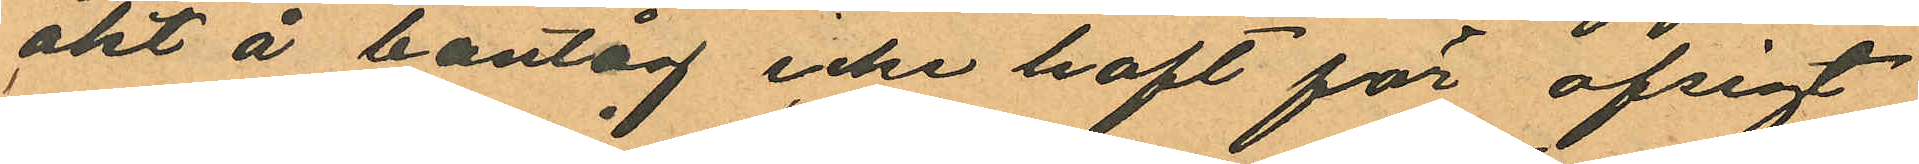åkt å bantåg icke haft för afsigt
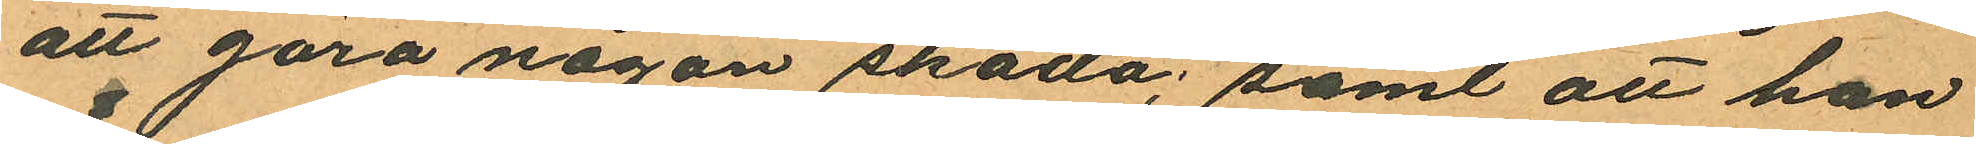att göra någon skada; samt att han
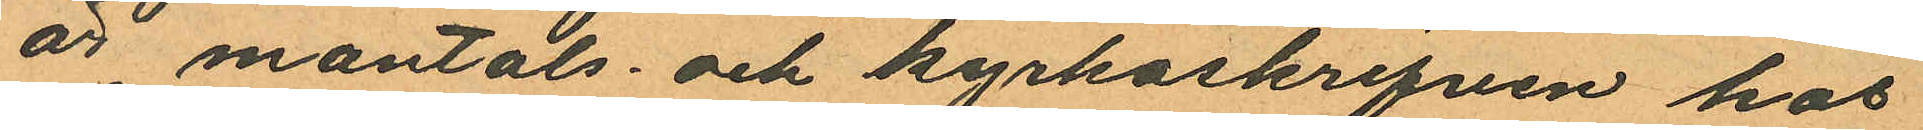är mantals- och kyrkoskrifven hos
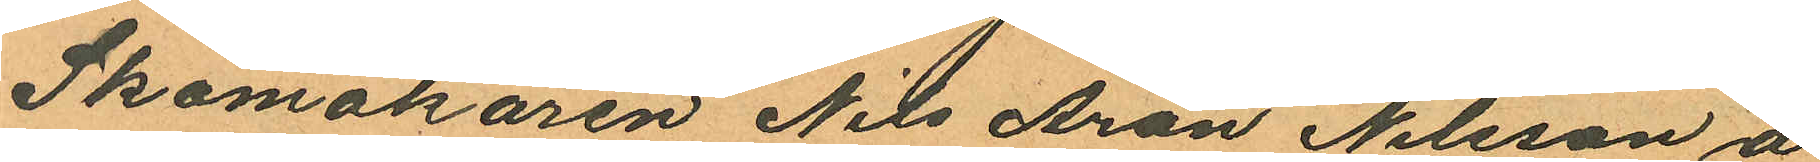Skomakaren Nils Aron Nilsson å
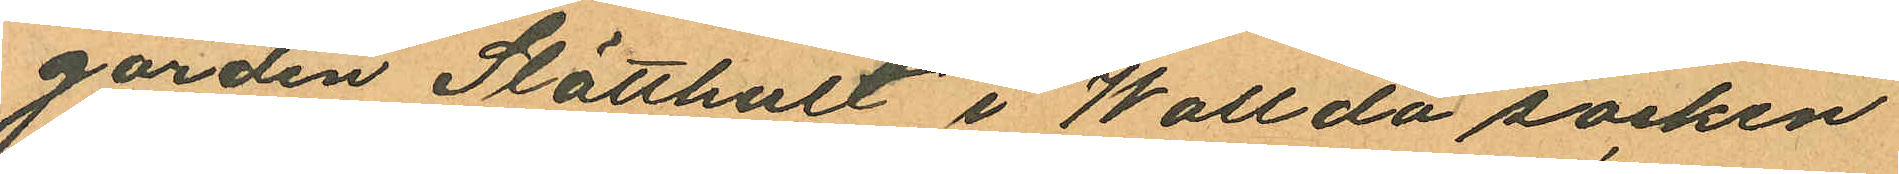gården Slåtthust i Wallda socken
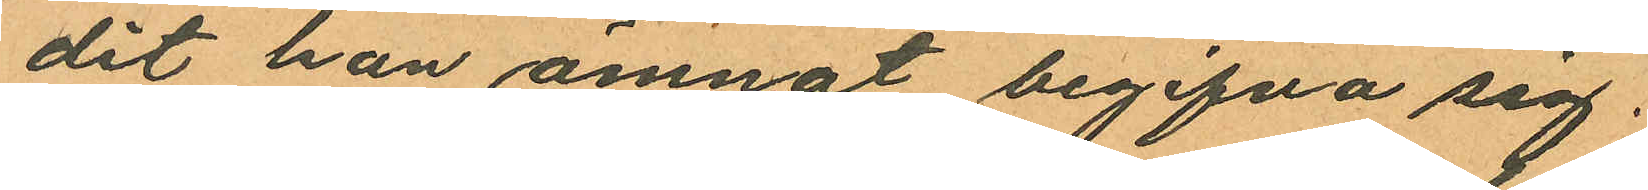dit han ämnat begifva sig.
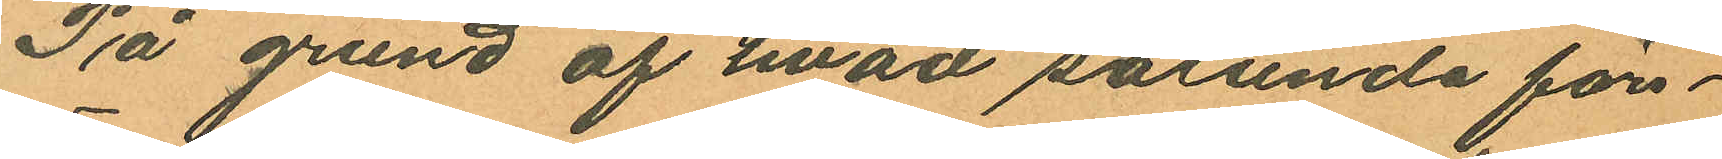På grund af hvad sålunda före¬
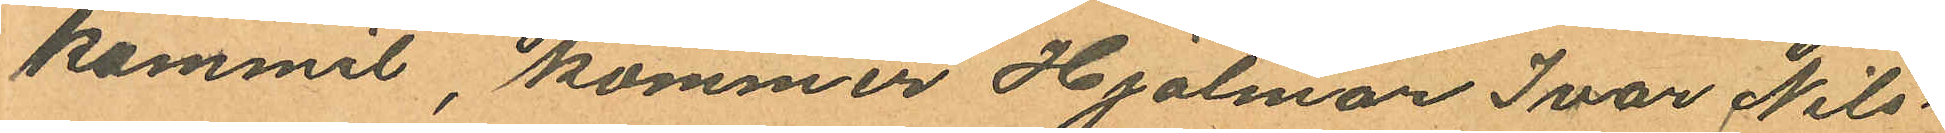kommit kommer Hjalmar Ivar Nils¬
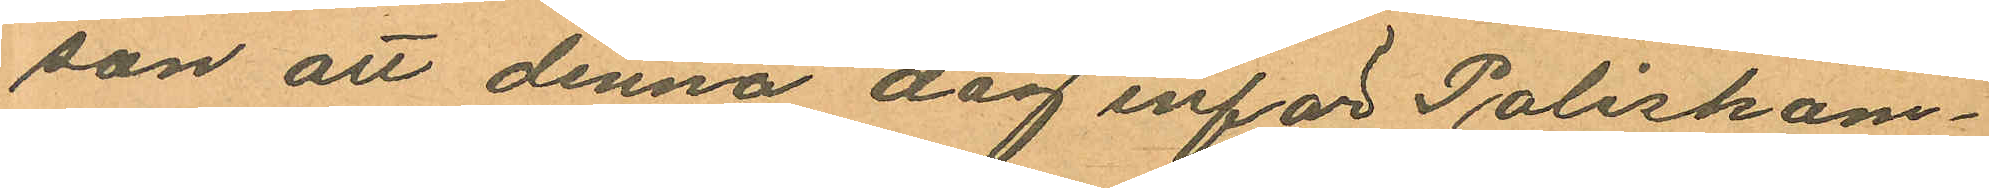son att denna dag inför Poliskam¬
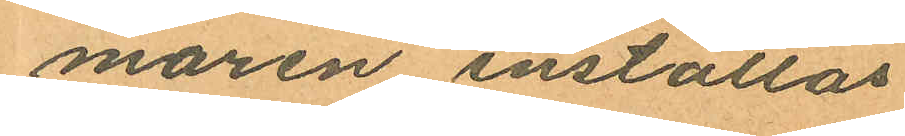maren inställas.
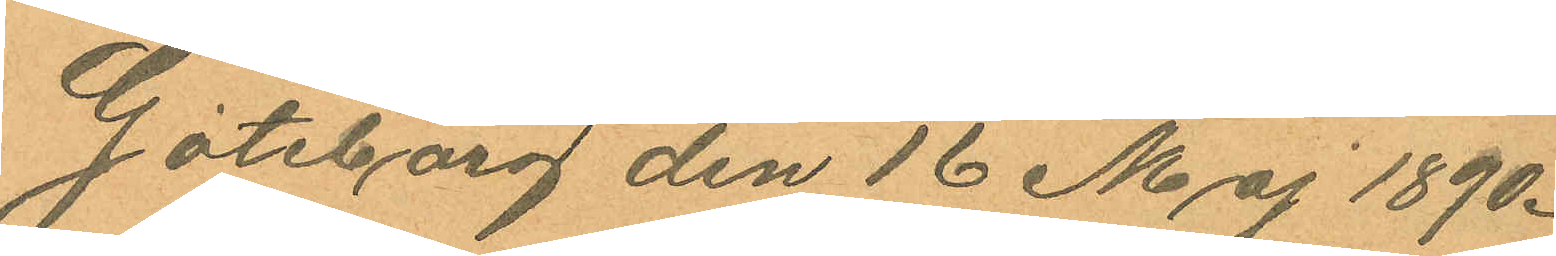Göteborg den 16 Maj 1890.
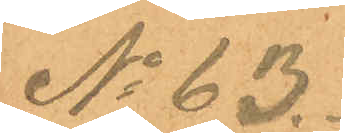No 63.
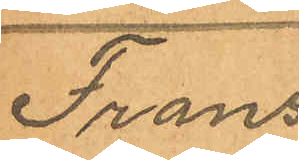Frans
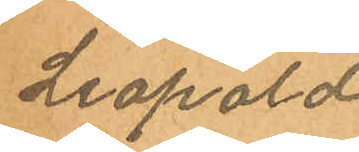Leopold
